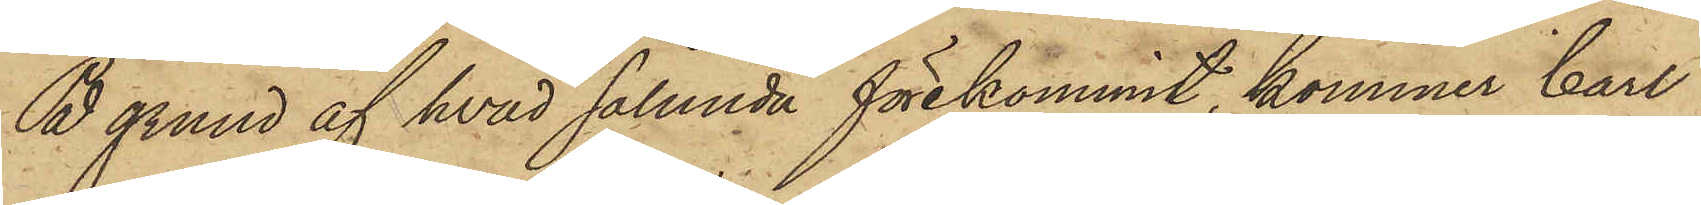På grund af hvad sålunda förekommit, kommer Carl
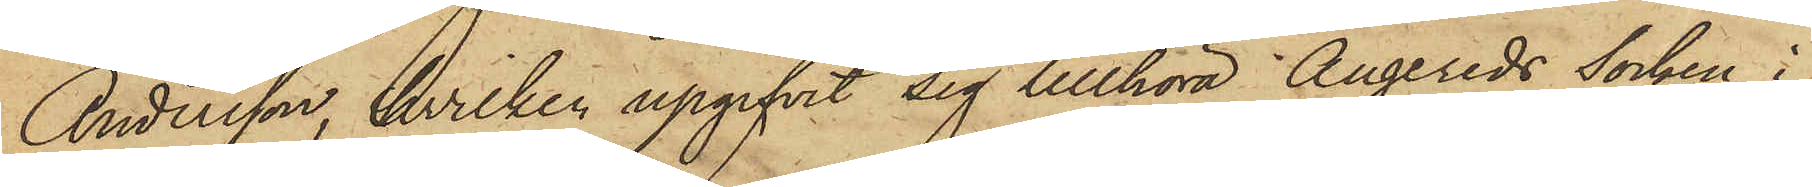Andersson, hvilken upgifvit sig tillhöra Angereds Socken i
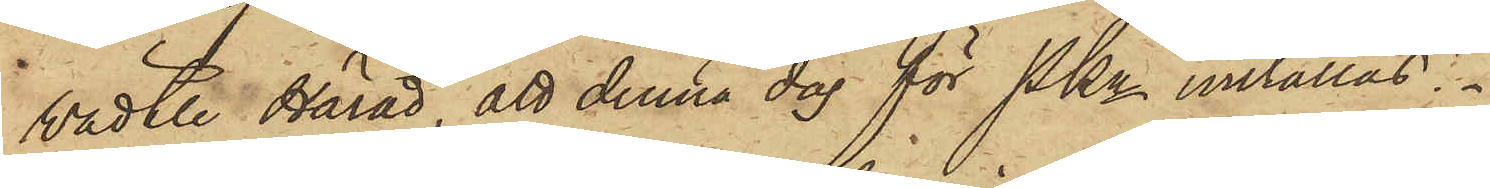Vädtle Härad, att denna dag för Pkn inställas.
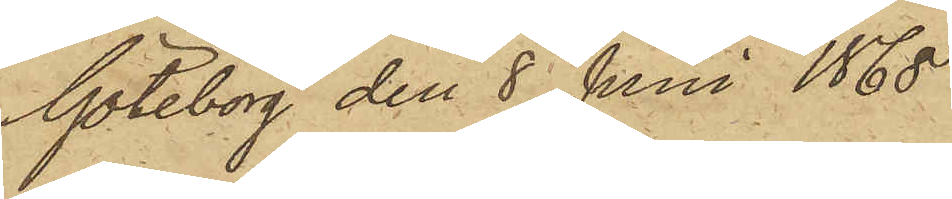Göteborg den 8 Juni 1868.
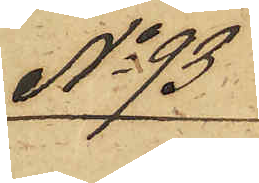No 93
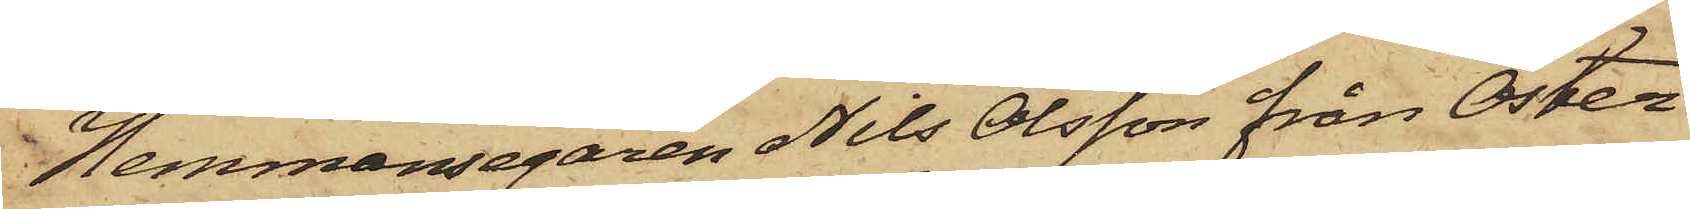Hemmansegaren Nils Olsson från Öster¬
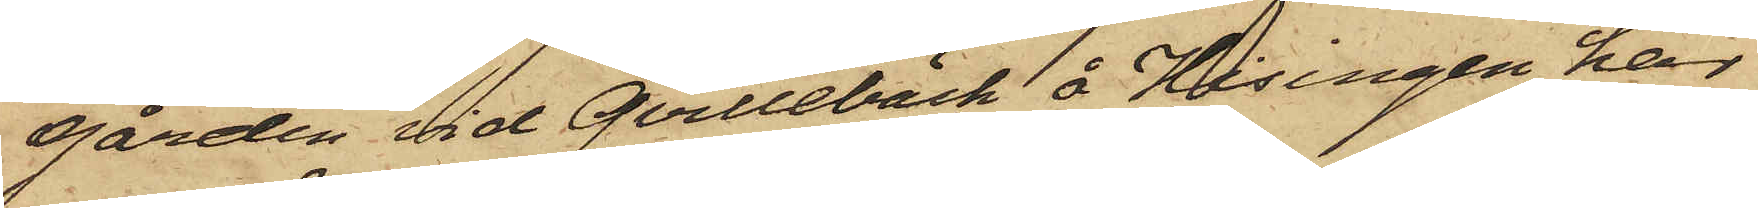gården vid Qvillebäck å Hisingen har
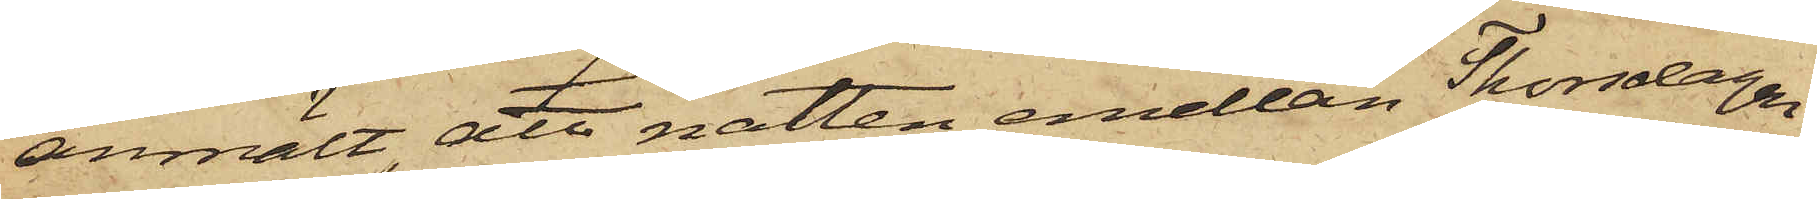anmält att natten emellan Thorsdagen
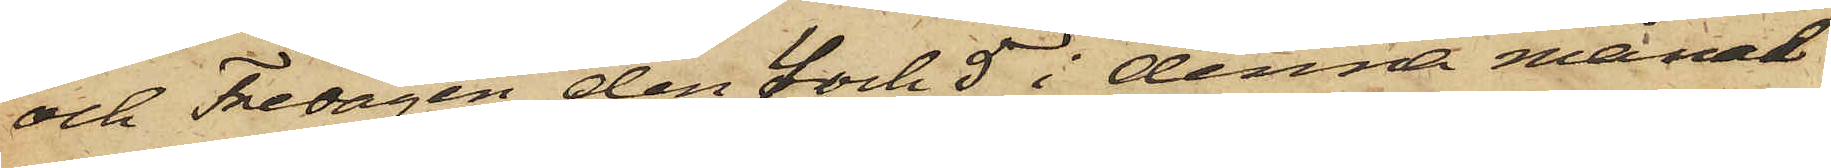och Fredagen den 4 och 5 i denna månad
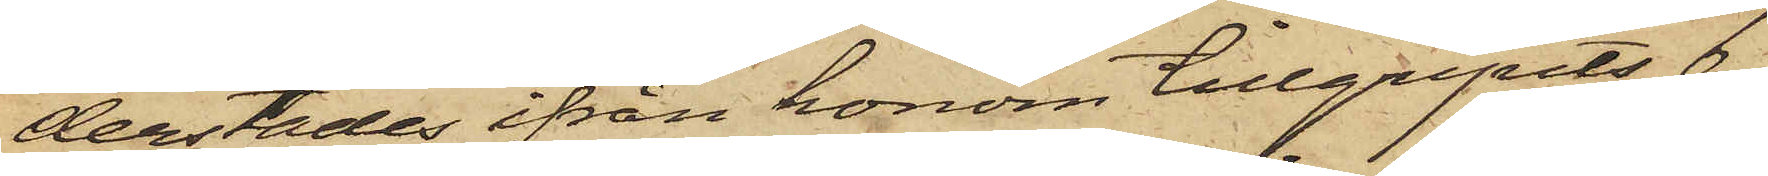derstädes ifrån honom tillgripits 6
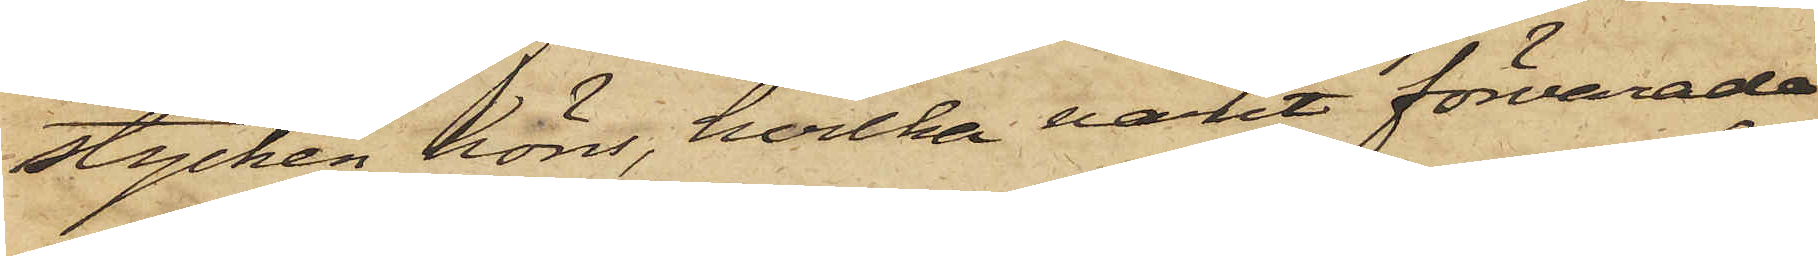stycken höns, hvilka varit förvarade
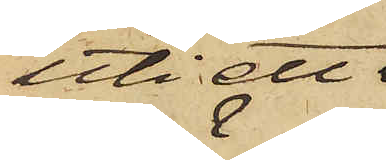uti ett
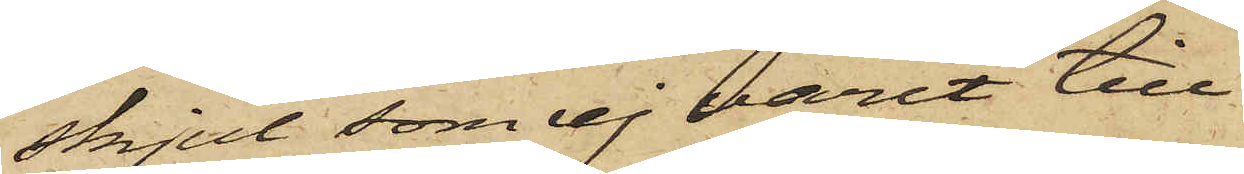skjul, som ej varit till
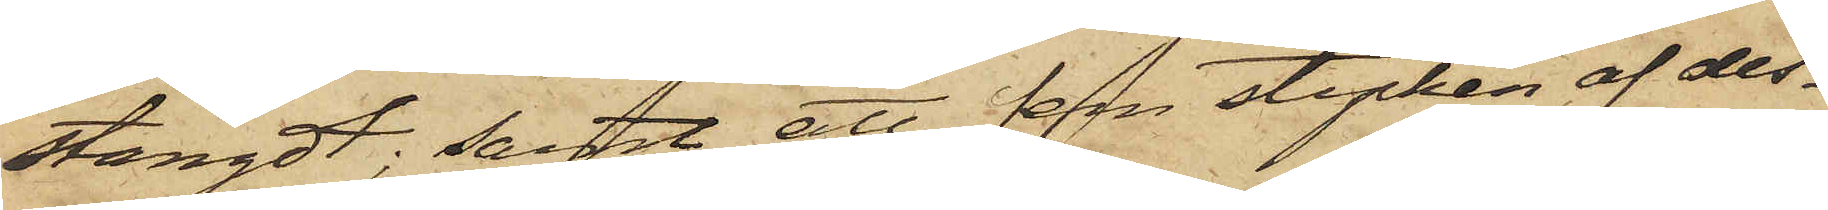stängdt; samt att fem stycken af des¬
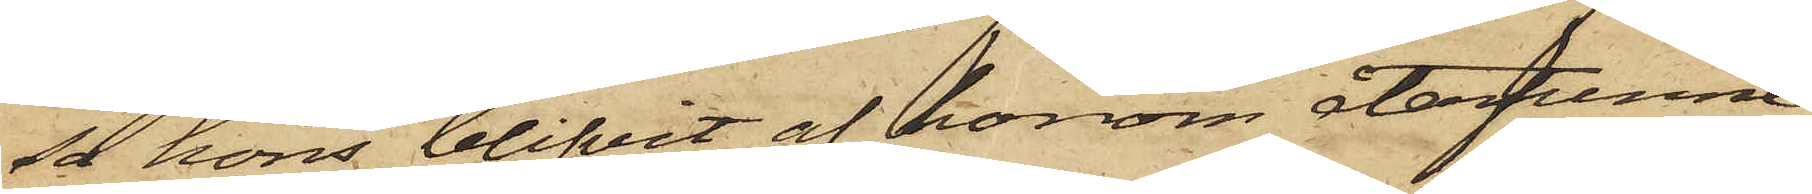sa höns blifvit af honom återfunne
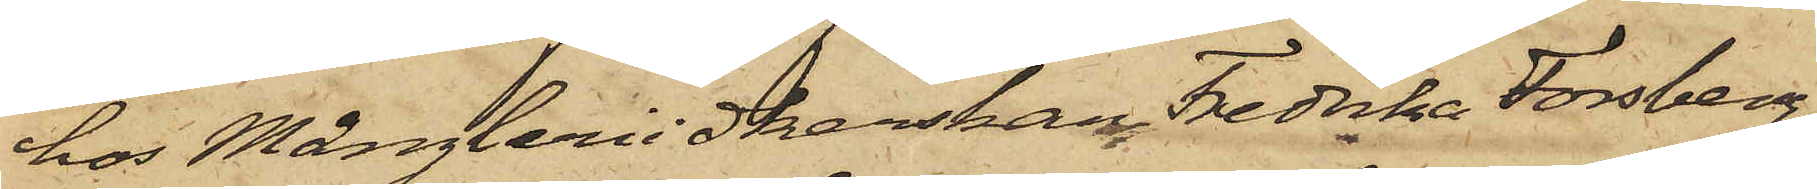hos Mångleriidkerskan Fredrika Forsberg,
